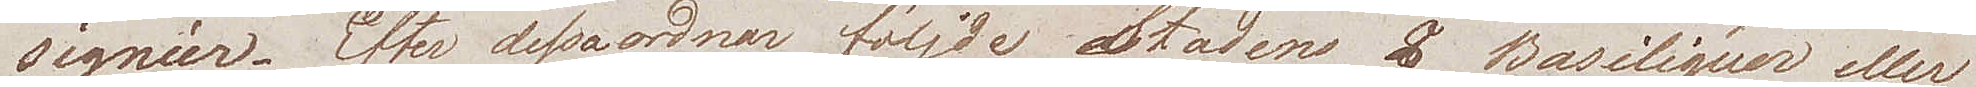signier. Efter dessa ordnar följde Stadens 8 Basiliquer eller
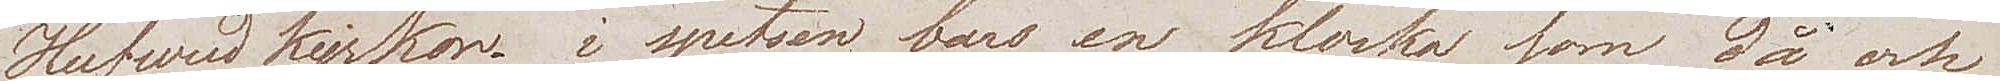Hufvudkyrkor, i spetsen bars en klocka som då och
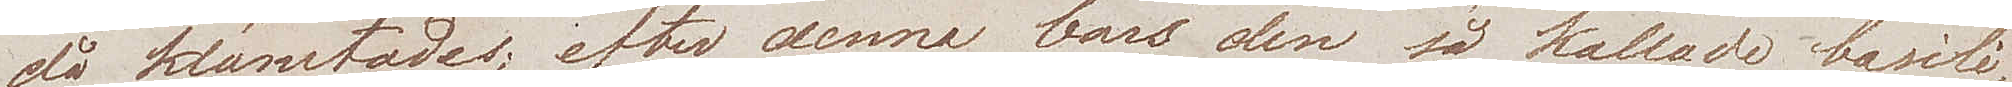då klämtades; efter  denne bars den så kallade basili¬
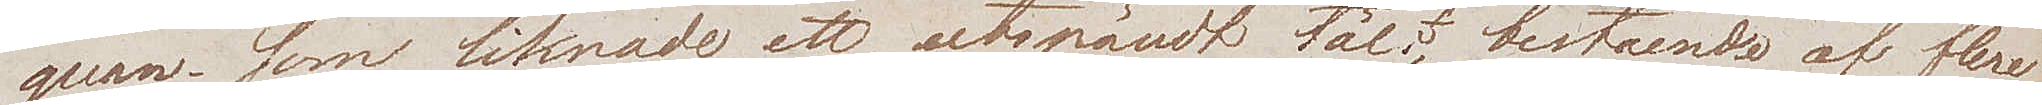quan, som liknade ett utspändt  tält, bestående af flere
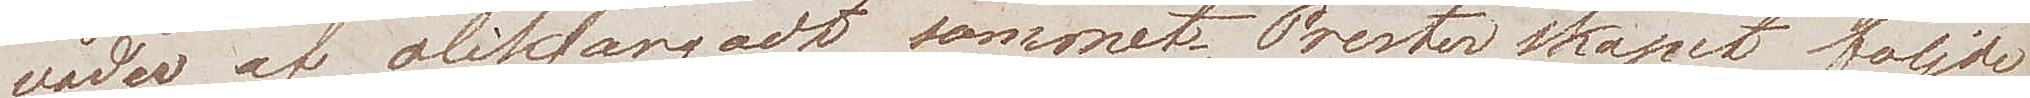våder af olikfärgadt sammet; Presterskapet  följde
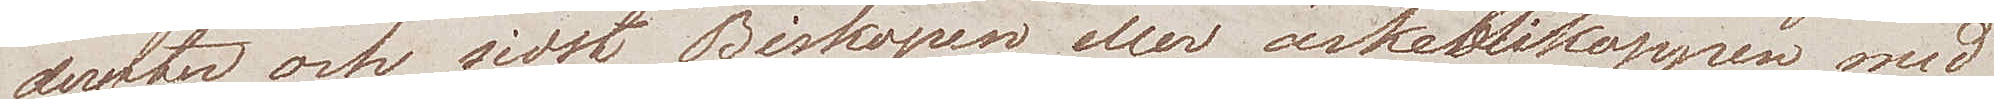derefter och sidst Biskopen eller ärkebiskoppen med
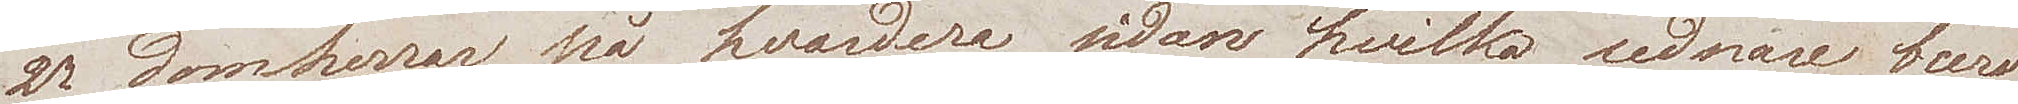2ne domherrar på hvardera sidan hvilka sednare buro
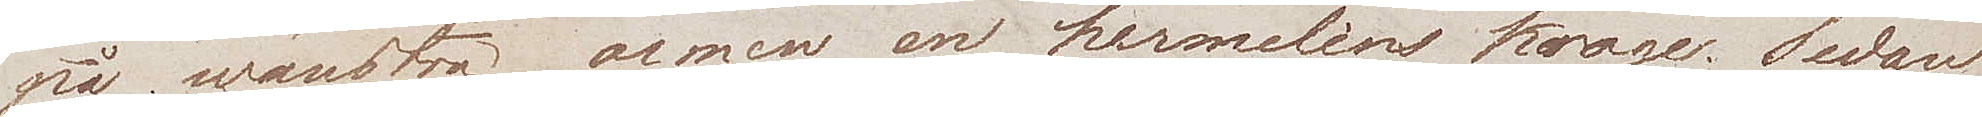på wänstra armen en hermelins krage. Sedan
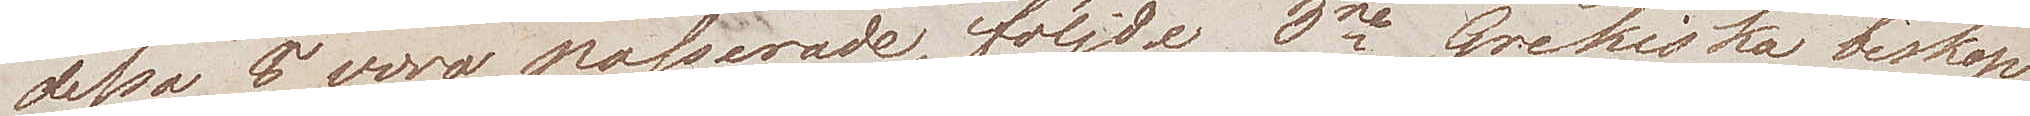dessa 8 voro passerade, följde 3ne Grekiska biskop¬
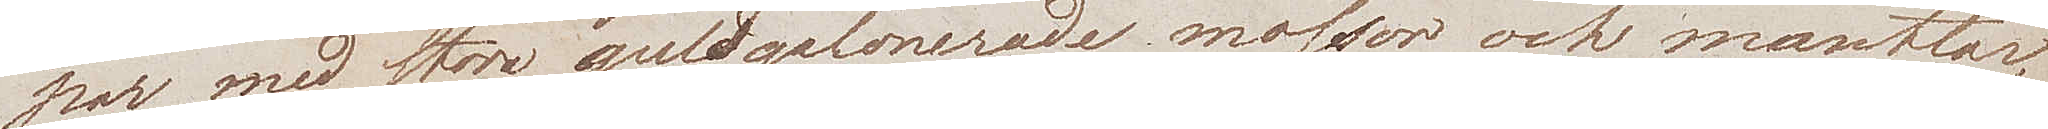par med stora guldgalonerade mössor och mantlar,
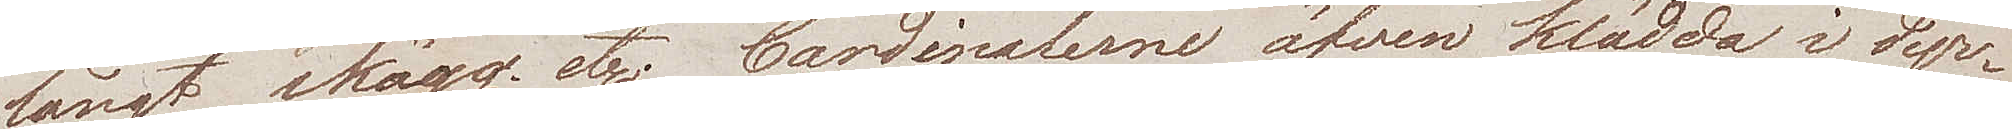långt skägg etc. Cardinalerne äfven kläddda i dyr¬
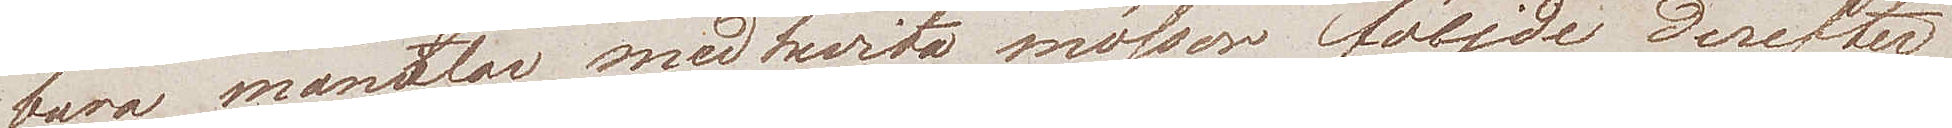bara mantlar med hvita mössor följde derefter
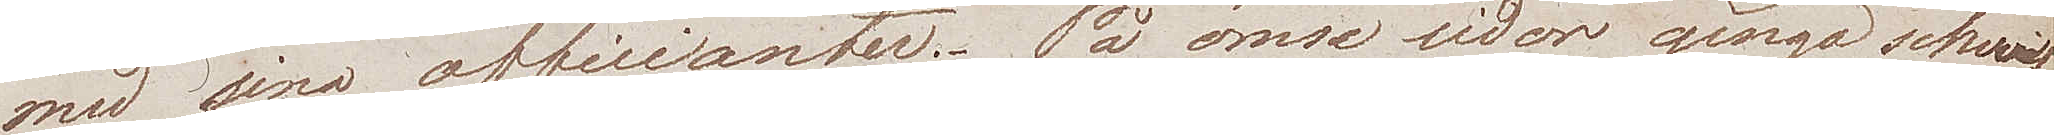med sina officianter. På ömse sidor gingo schwei¬
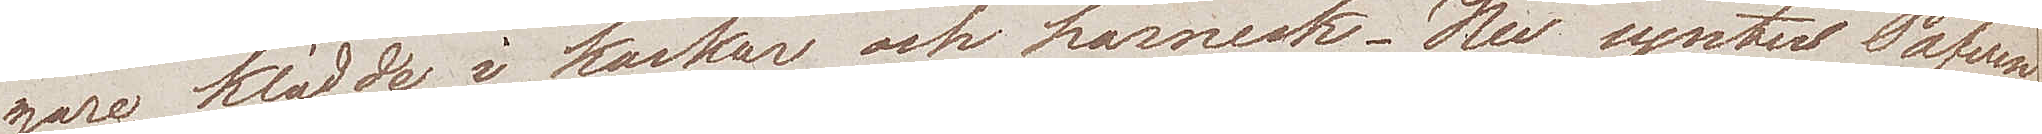zare, klädde i kaskar och harnesk. Nu syntes Påfven
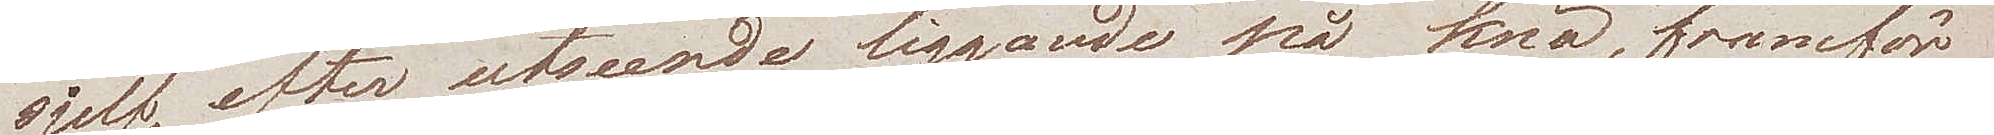sjelf, efter utseende  liggande på knä framför
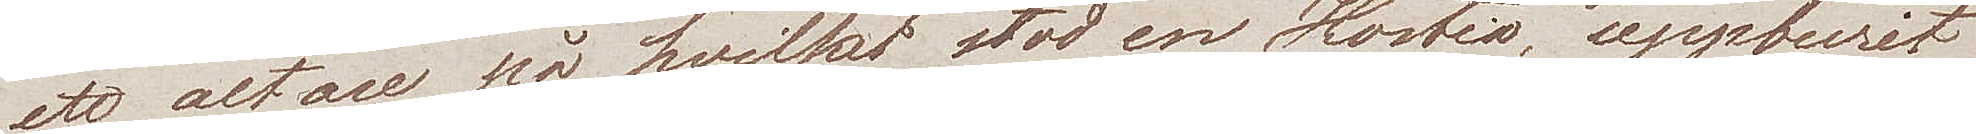ett altare på hvilket stod en Hostia, uppburit
